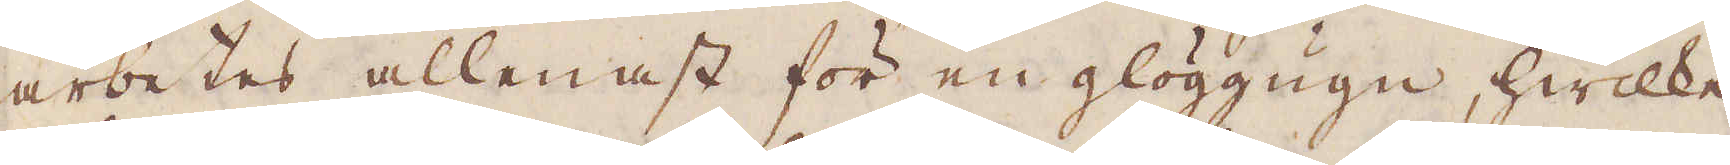arbetes allenast för en glöggugn, hwilke
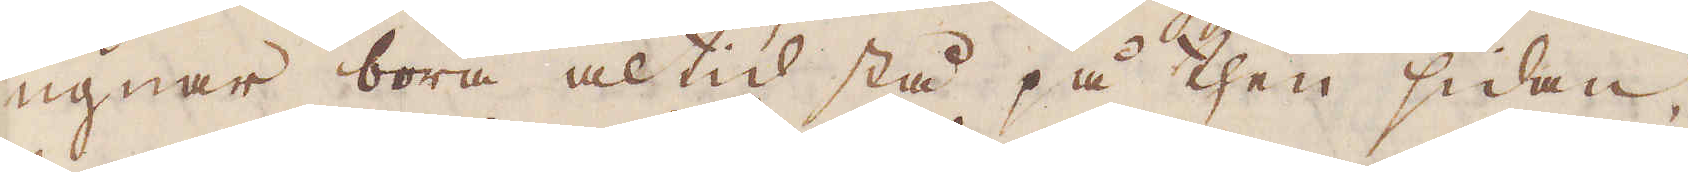ugnar böra altid stå på then sidan,
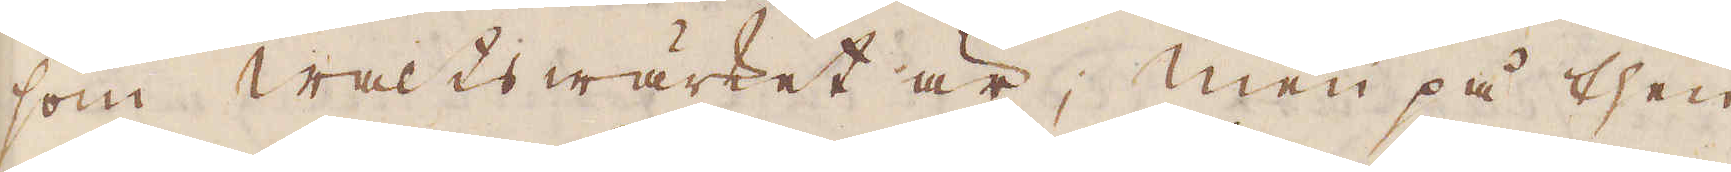som Walts wärket är; men på then
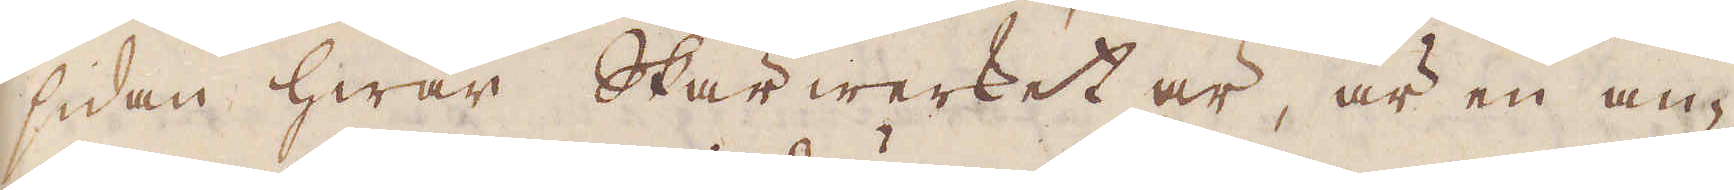sidan hwar Skär werket är, är en an-
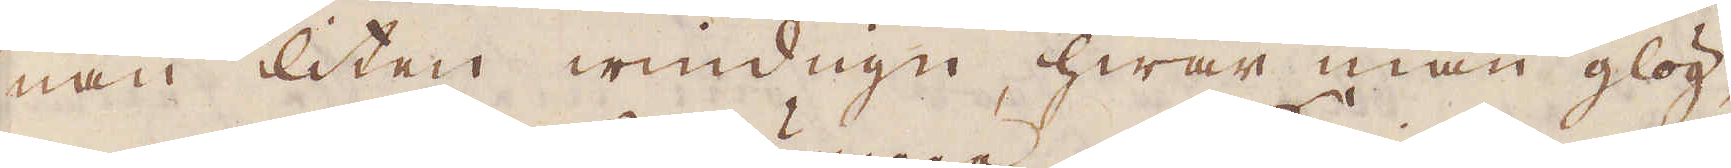nan liten widugn, hwar man glög-
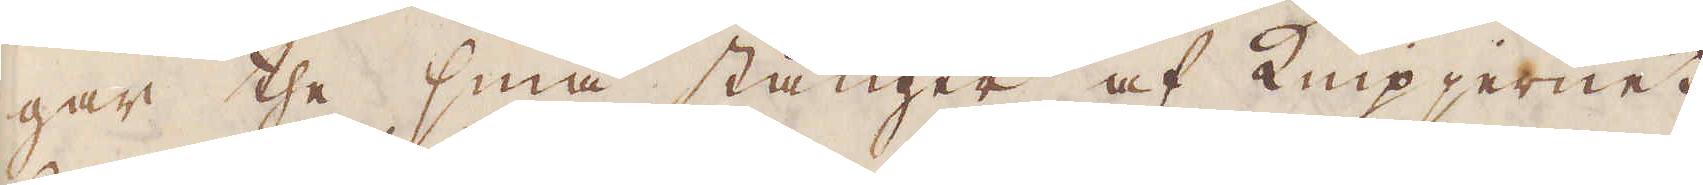gar the små stänger af Knip jernet,
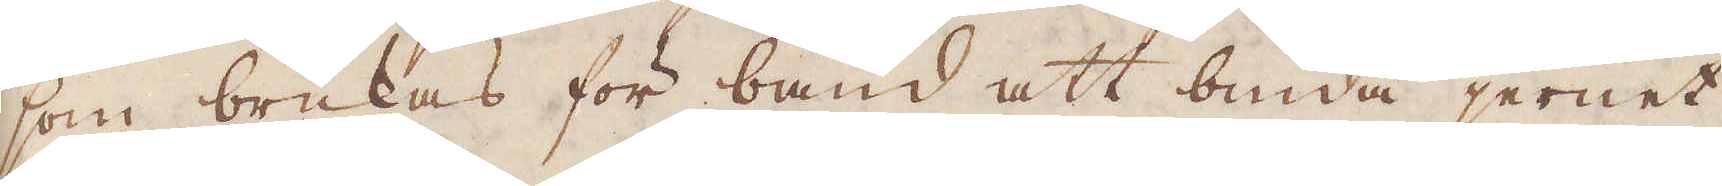som brukas för band att binda jernet
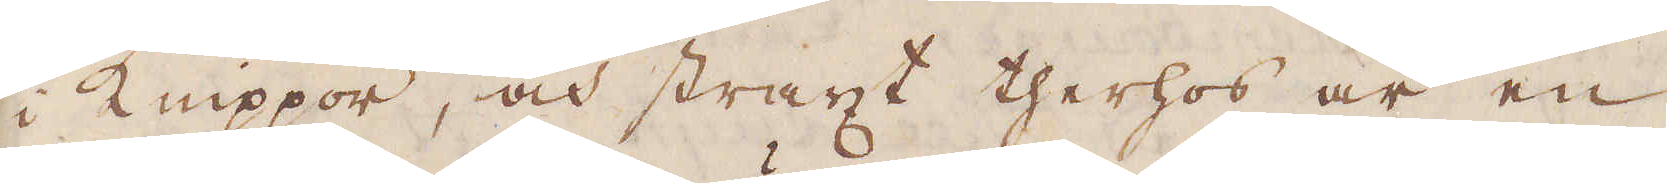i Knippor, och straxt therhos är en
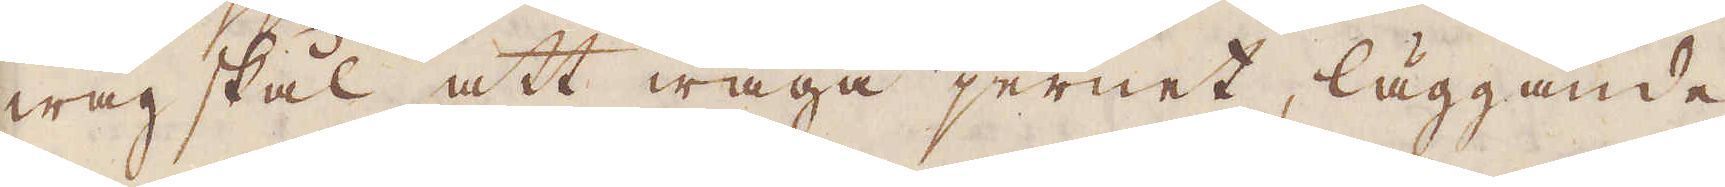wågskål att wäga jernet, läggande
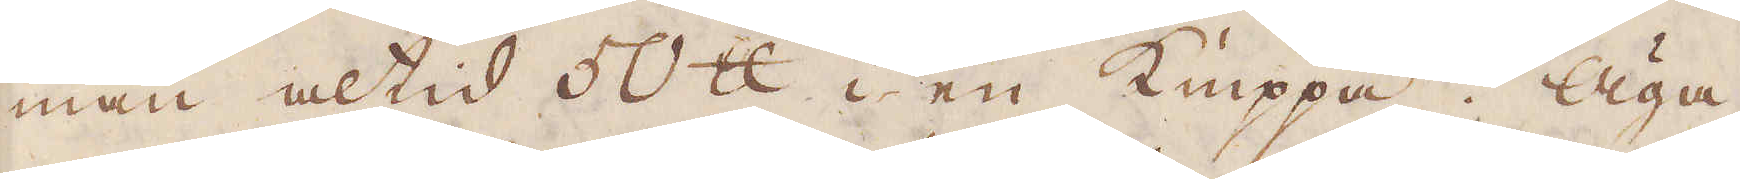man altid 50 skålpund i en Knippa. Äga-
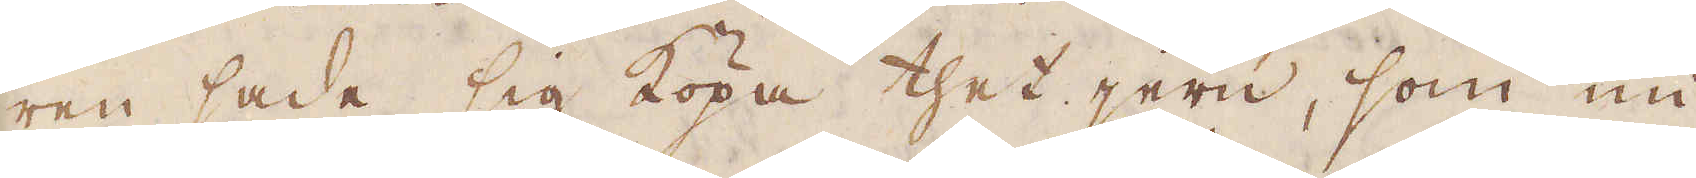ren sade sig köpa thet jern, som nu
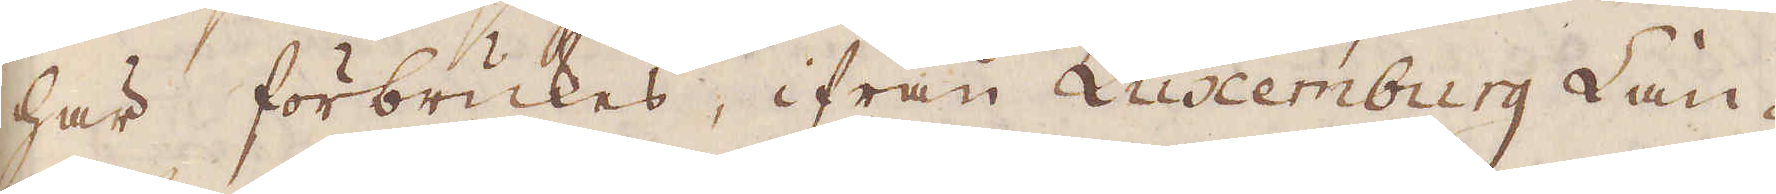här förbrukas, ifrån Luxemburg Lan-
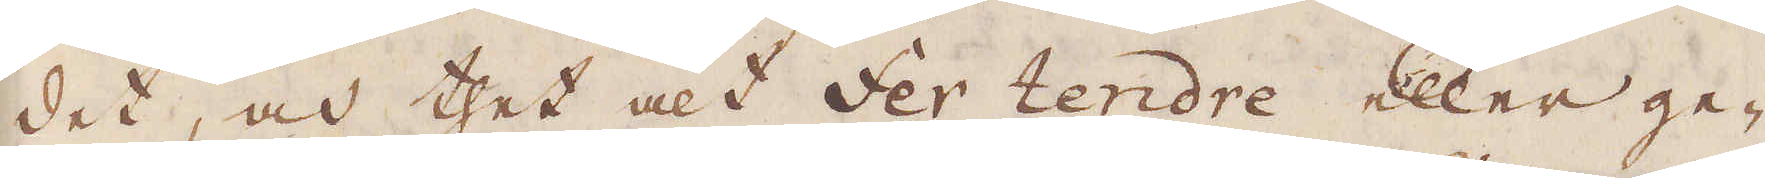det, och thet alt Fer tendre eller ge-
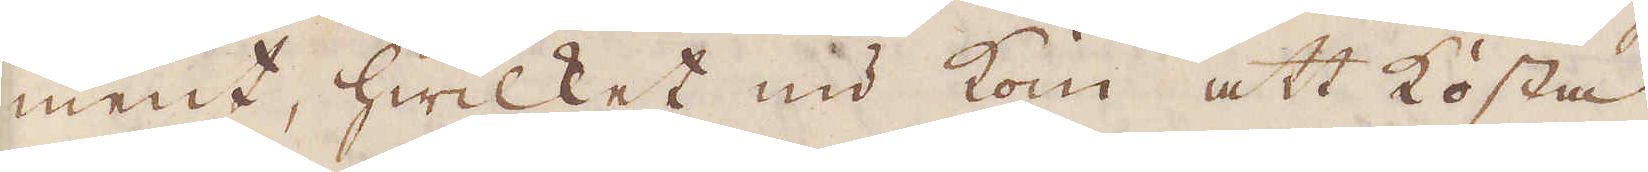ment, hwilket nu kom att kosta
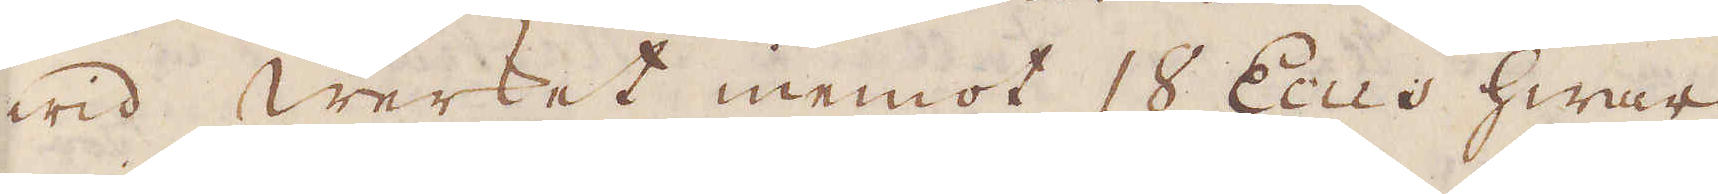wid werket inemot 18 Ecus hwar
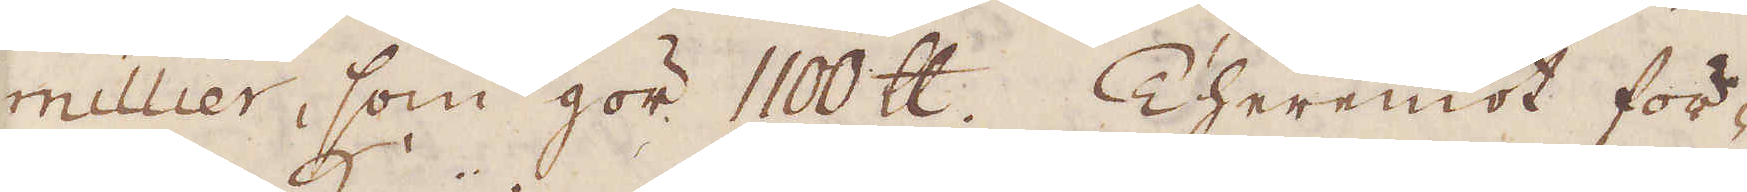millier, som gör 1100 skålpund. Theremot för-
